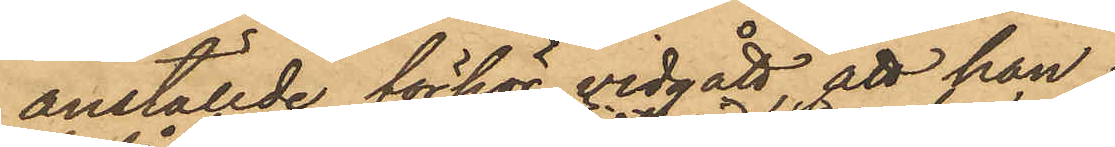anställde förhör vidgått, att han
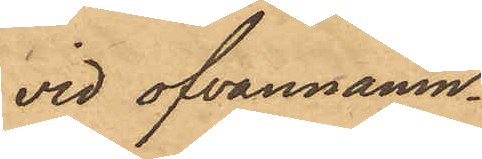vid ofvannämn¬
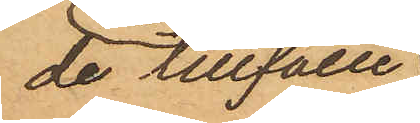de tillfälle,
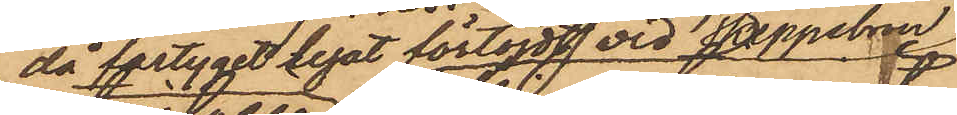då fartyget legat förtöjdt vid Skeppsbron
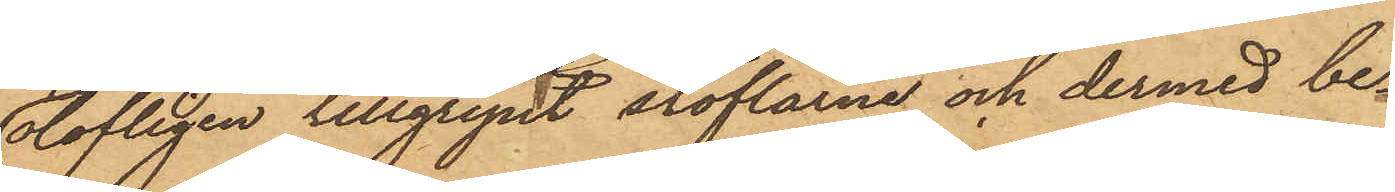olofligen tillgripit stöflarne och dermed be¬
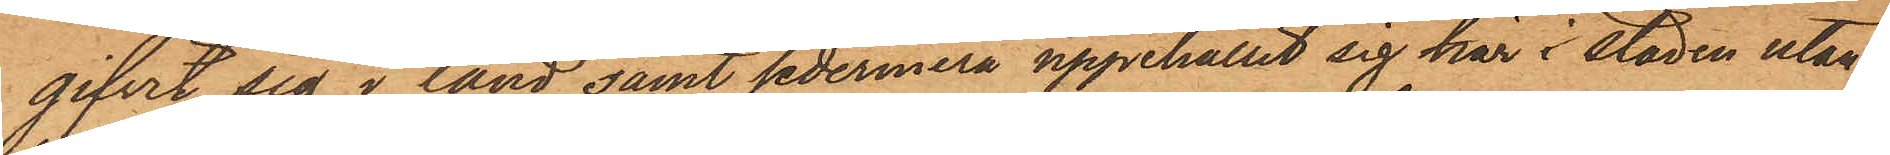gifvit sig i land samt sedermera uppehållit sig här i staden utan
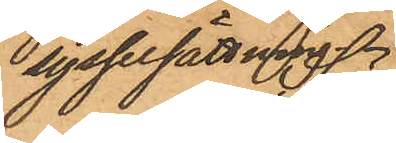sysselsättning.
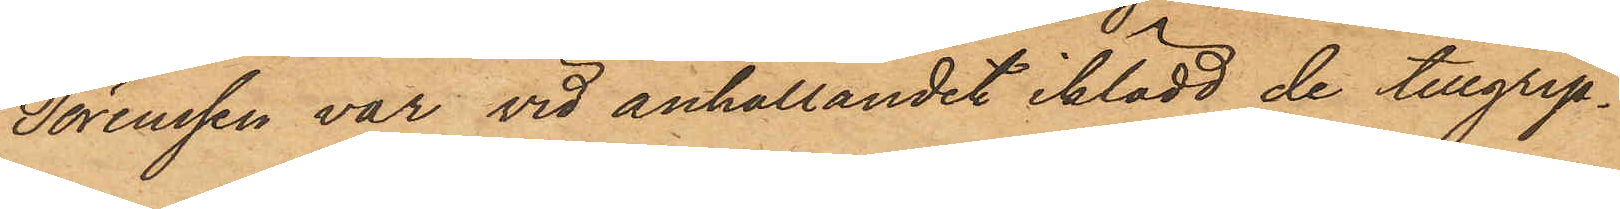Sörenssen var vid anhållandet iklädd de tillgrip¬
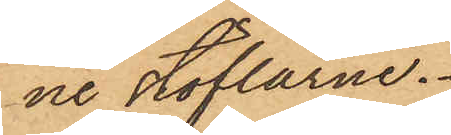ne stöflarne.
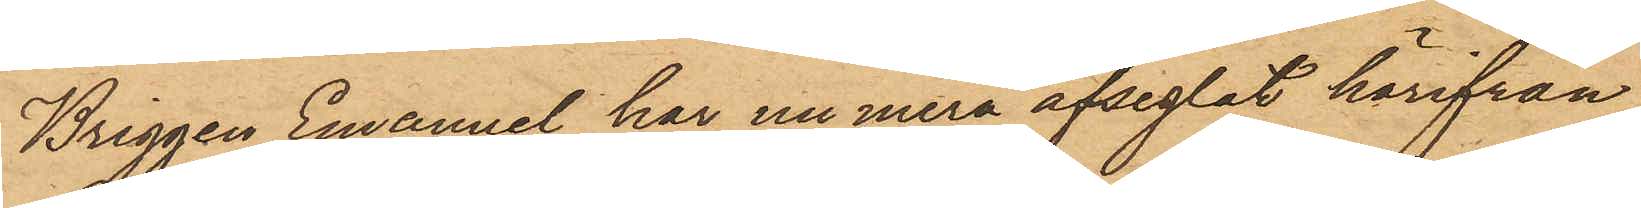Briggen Emanuel har numera afseglat härifrån.
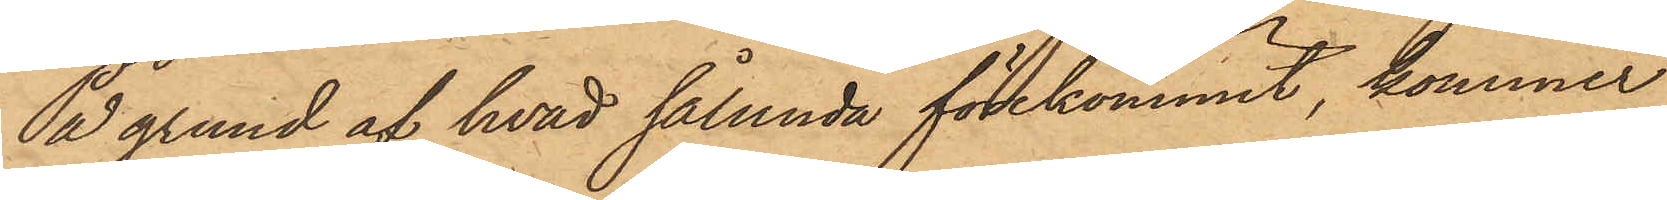På grund af hvad sålunda förekommit, kommer
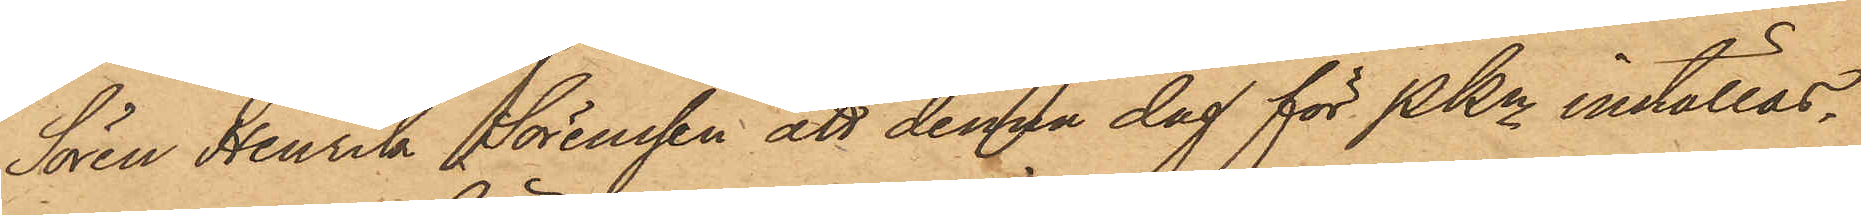Sören Henrik Sörenssen att denna dag för PKn inställas,
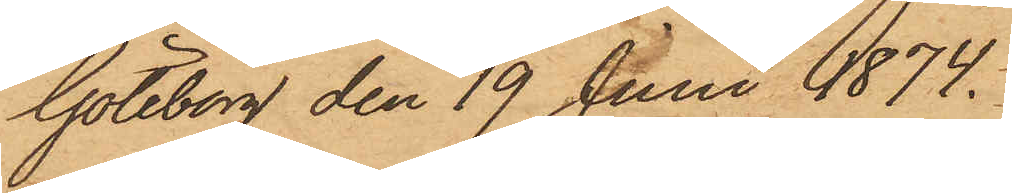Göteborg den 19 Juni 1874.
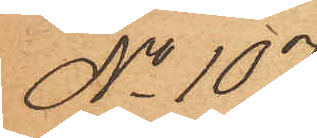No 107.
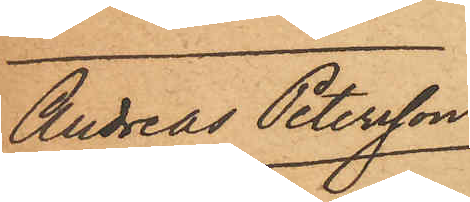Andreas Petersson
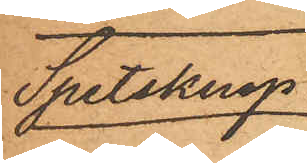Spetsknop
